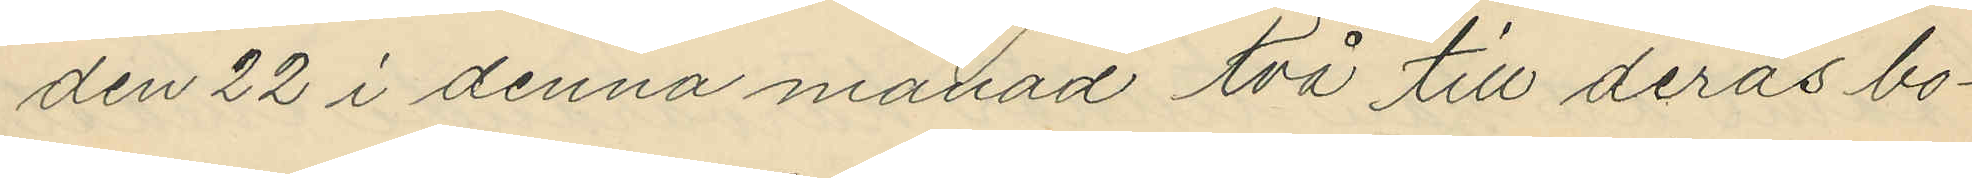den 22 i denna månad två till deras bo¬
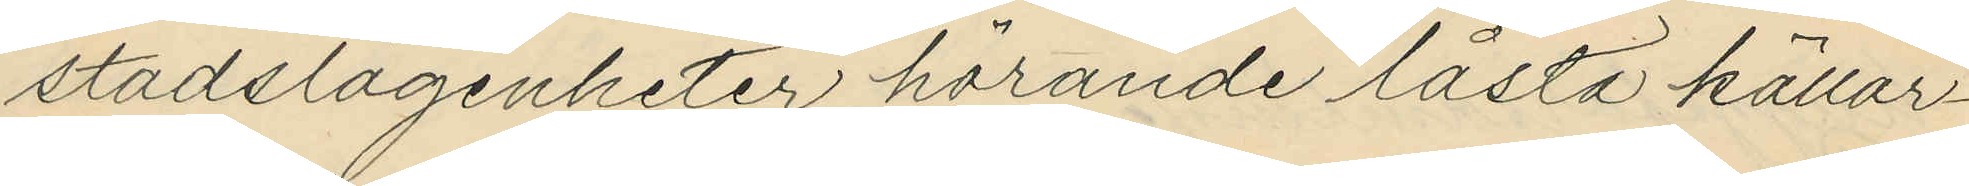stadslägenheter hörande låsta källar¬
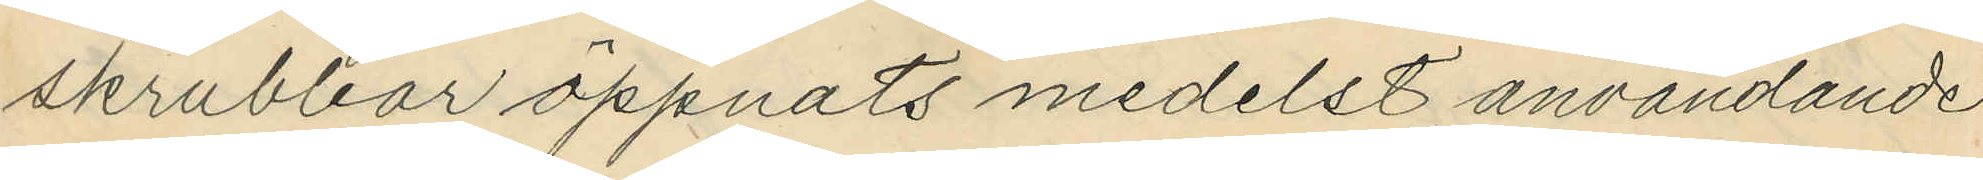skrubbar öppnats medelst användande
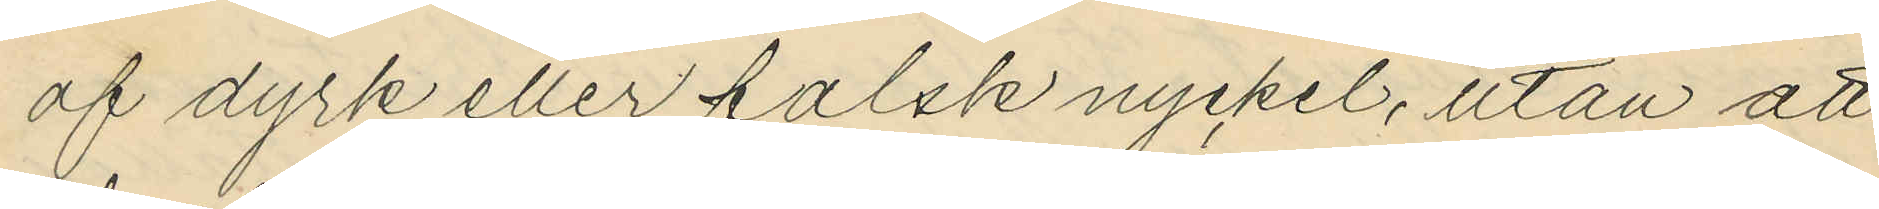af dyrk eller falsk nyckel, utan att
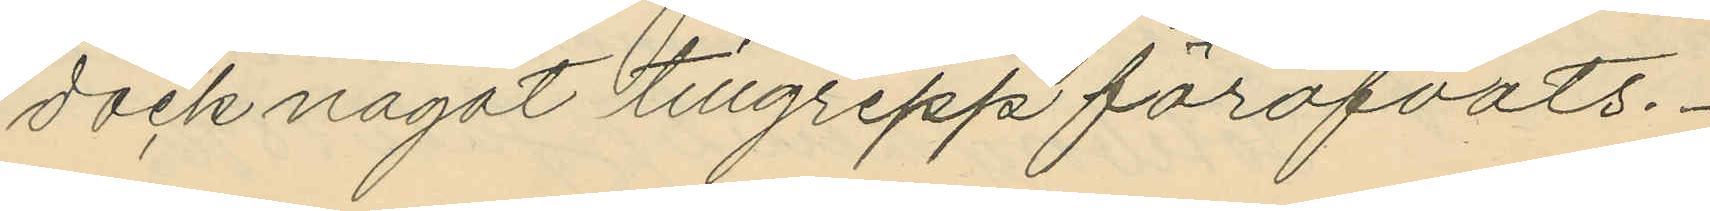dock något tillgrepp föröfvats.
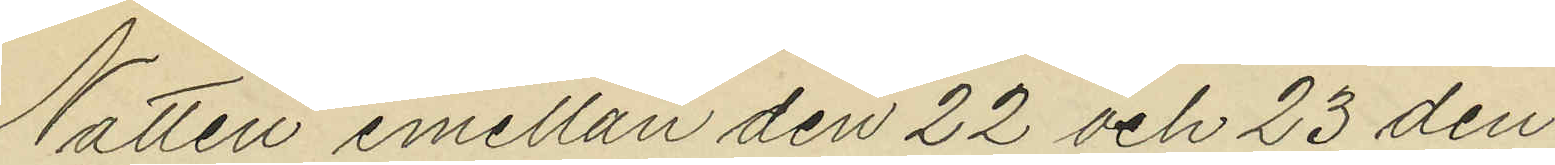Natten emellan den 22 och 23 den¬
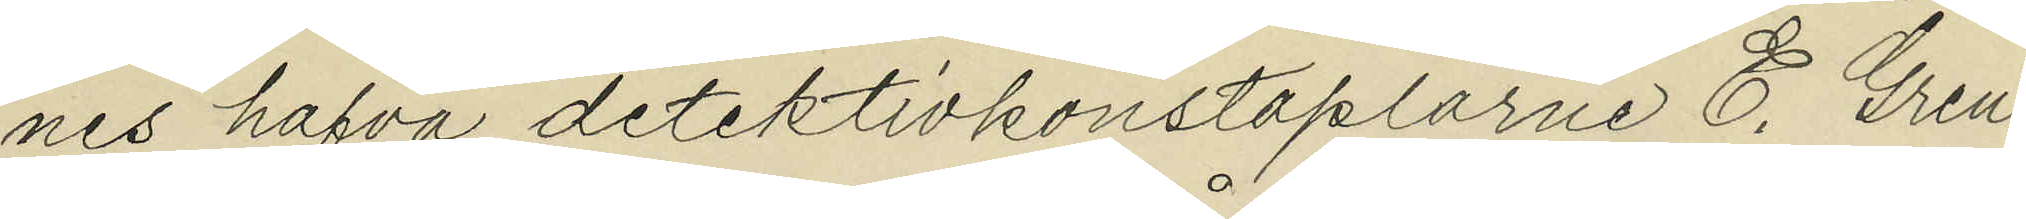nes hafva detektivkonstaplarne E. Gren
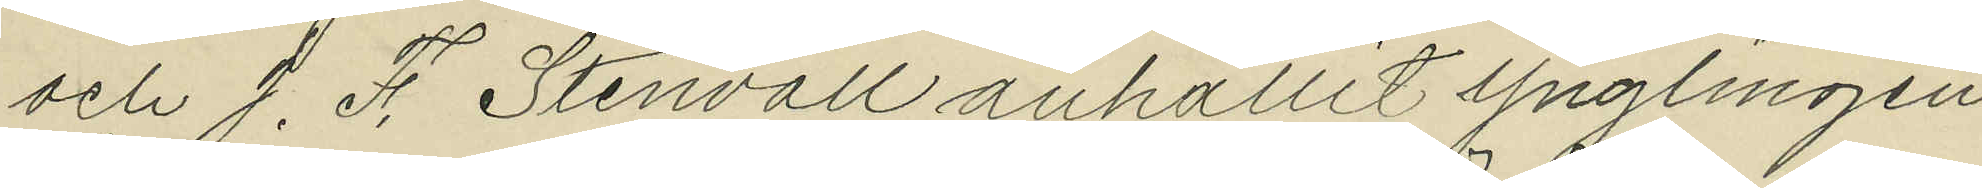och J. F. Stenvall anhållit ynglingen
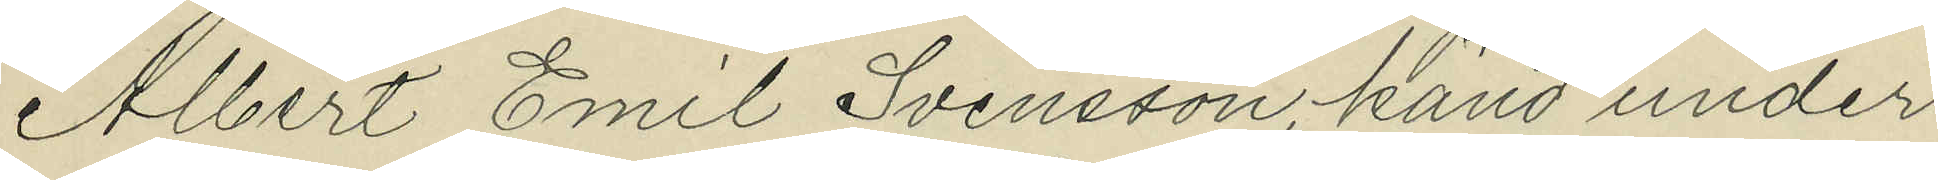Albert Emil Svensson, känd under
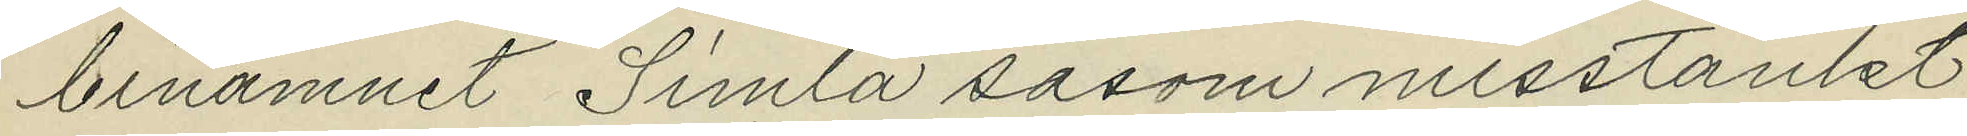binamnet "Simla" såsom misstänkt
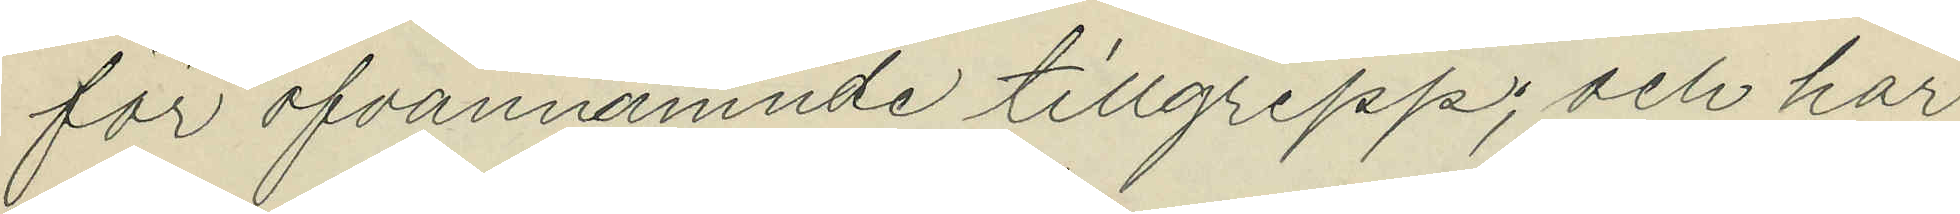för ofvannämnde tillgrepp; och har
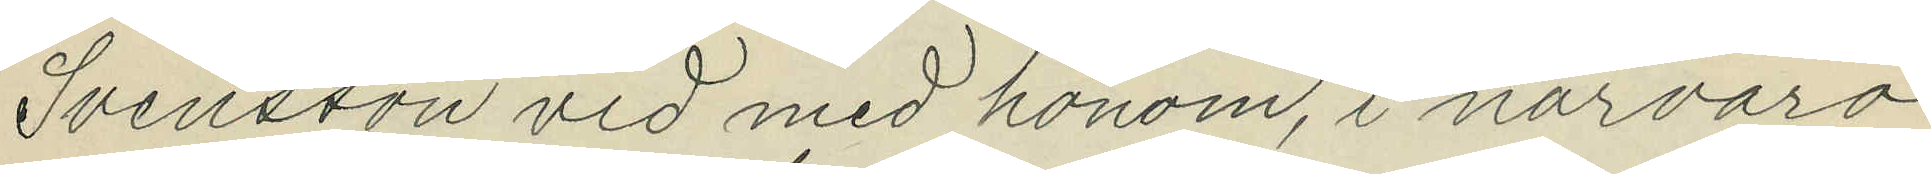Svensson vid med honom, i närvaro
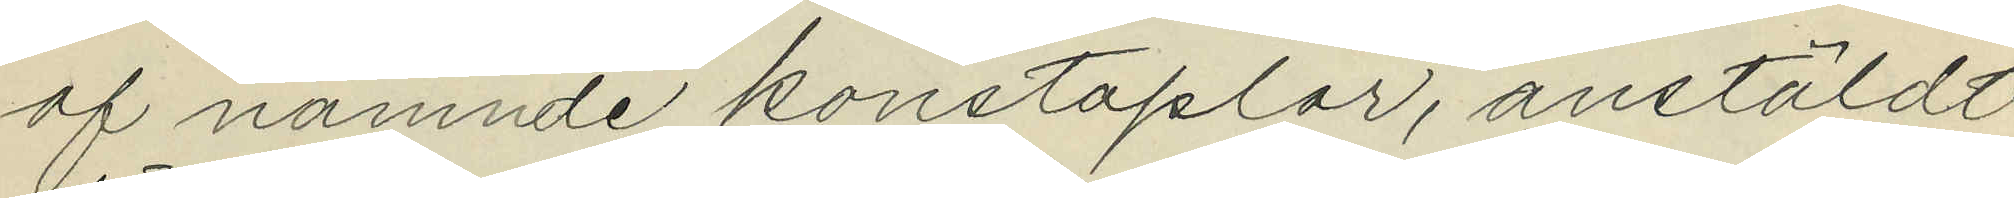af nämnde konstaplar, anstäldt
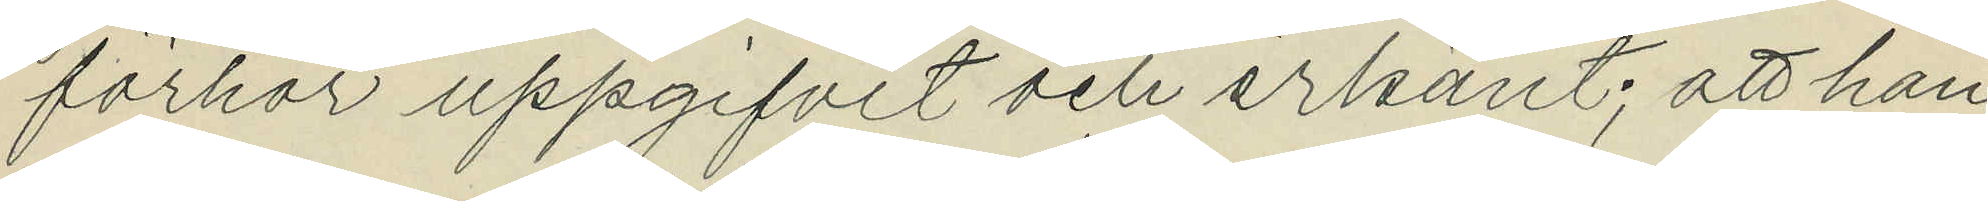förhör uppgifvit och erkänt; att han
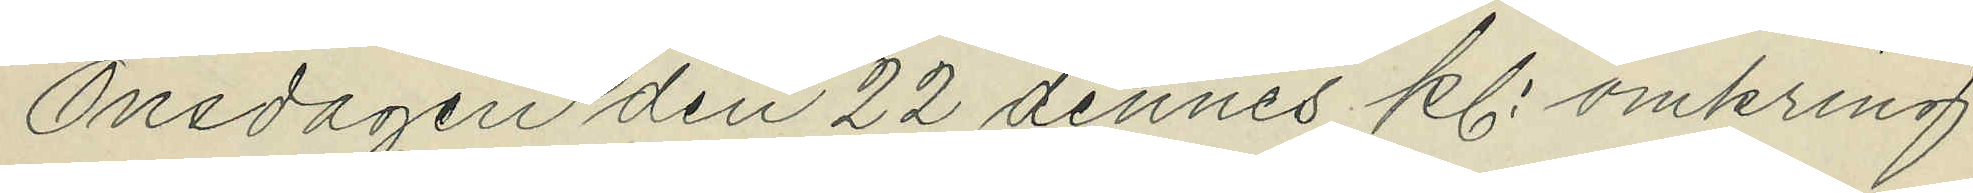Onsdagen den 22 dennes kl. omkring
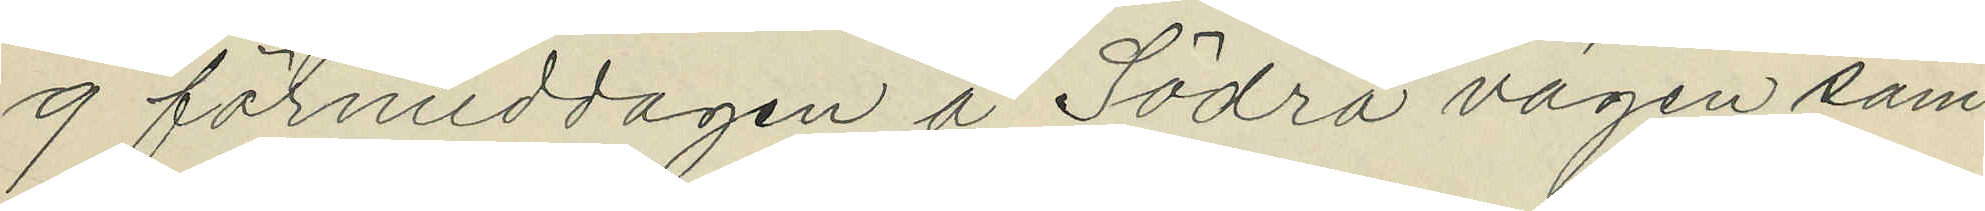9 förmiddagen å Södra vägen sam¬
